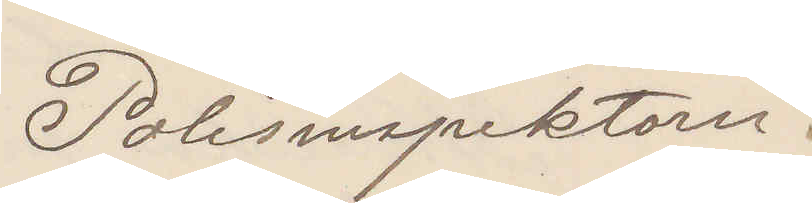Polisinspektorn.
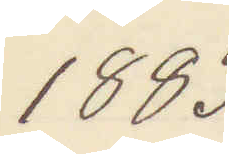1883
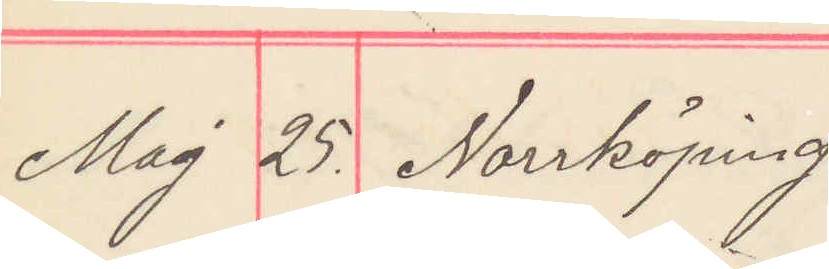Maj 25. Norrköping
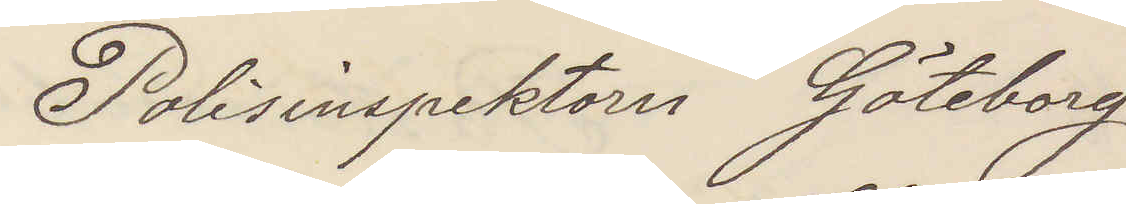Polisinspektorn Göteborg
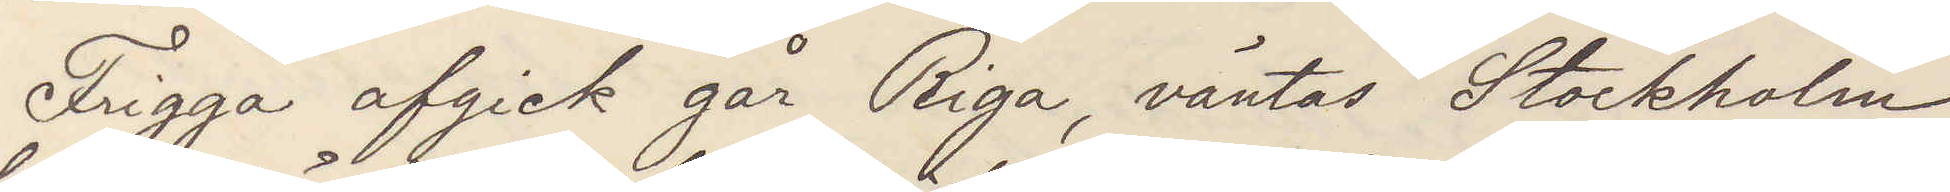Frigga afgick går Riga, väntas Stockholm
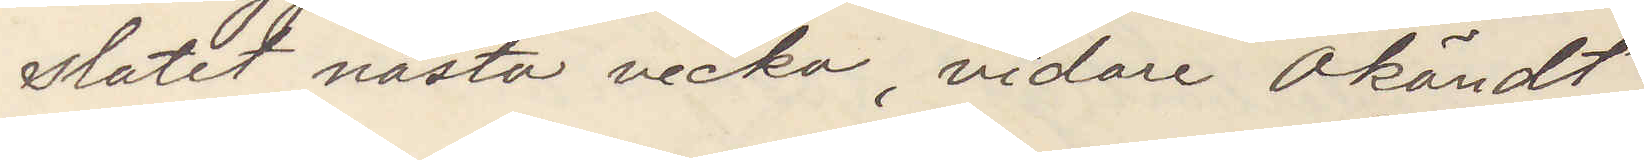slutet nästa vecka, vidare okändt.
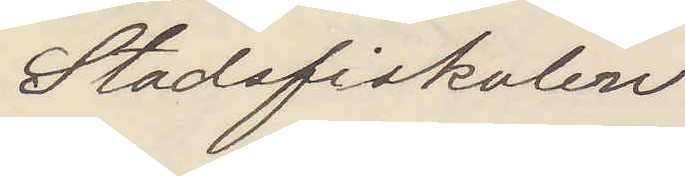Stadsfiskalen
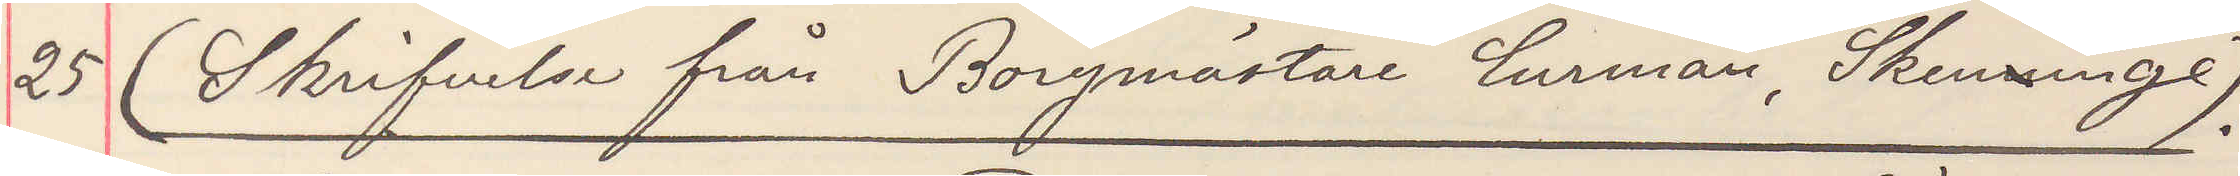25 (Skrifvelse från Borgmästaren Curman, Skenninge).
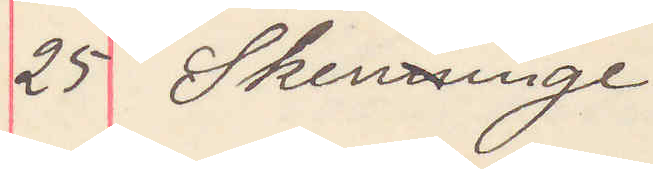25 Skenninge
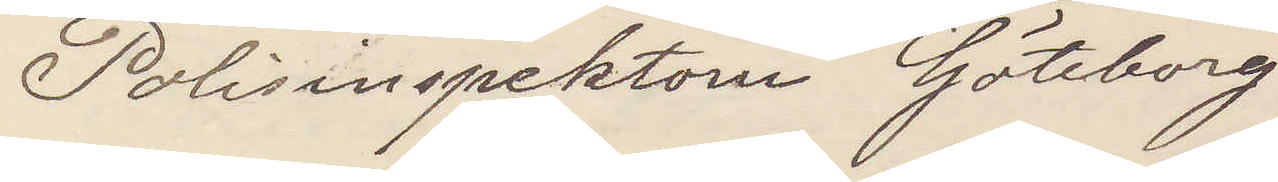Polisinspektorn Göteborg
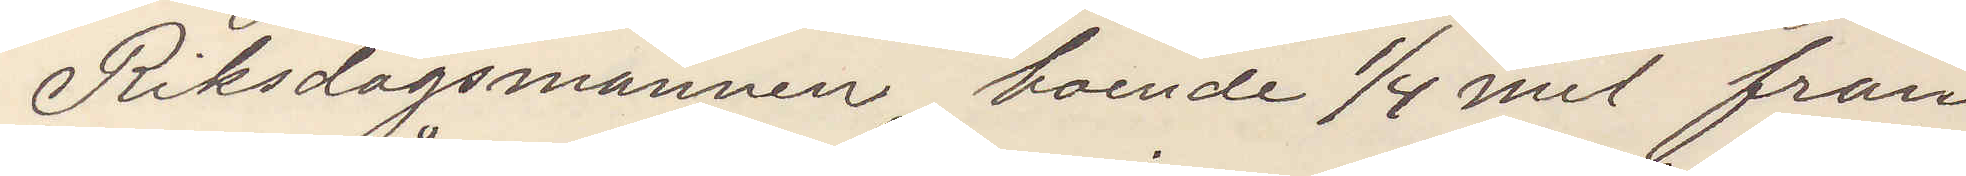Riksdagsmannen, boende 1/4 mil från
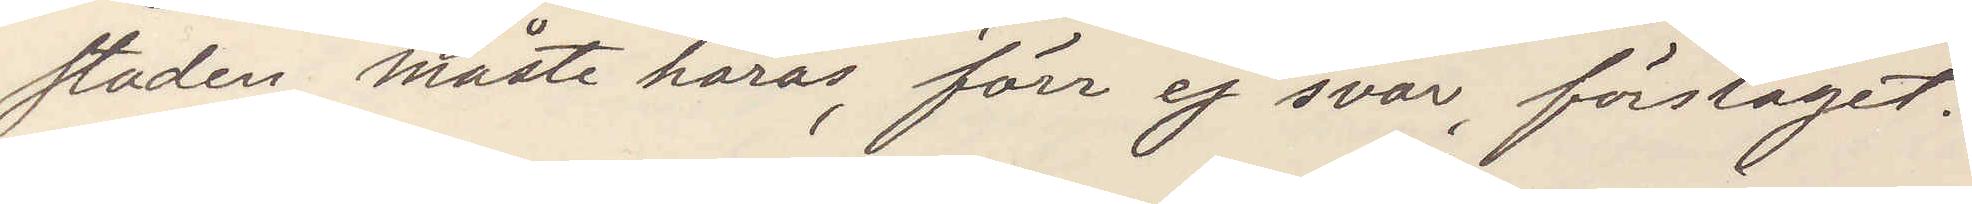staden, måste höras, förr ej svar, förslaget.
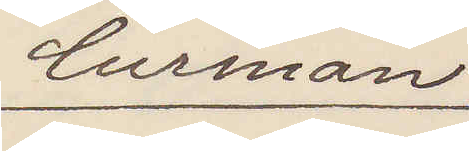Curman
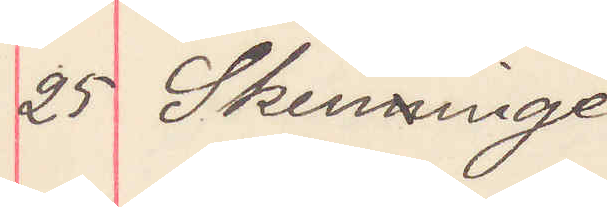25 Skenninge
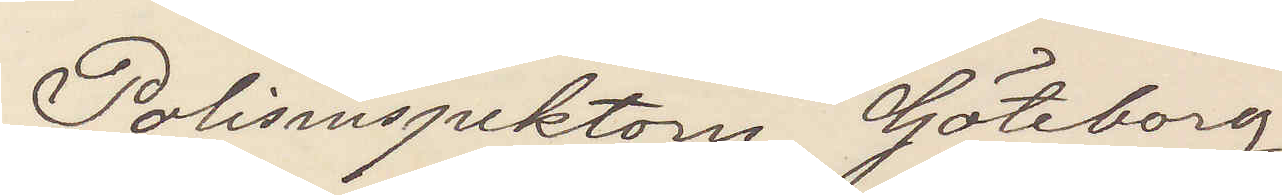Polisinspektorn Göteborg
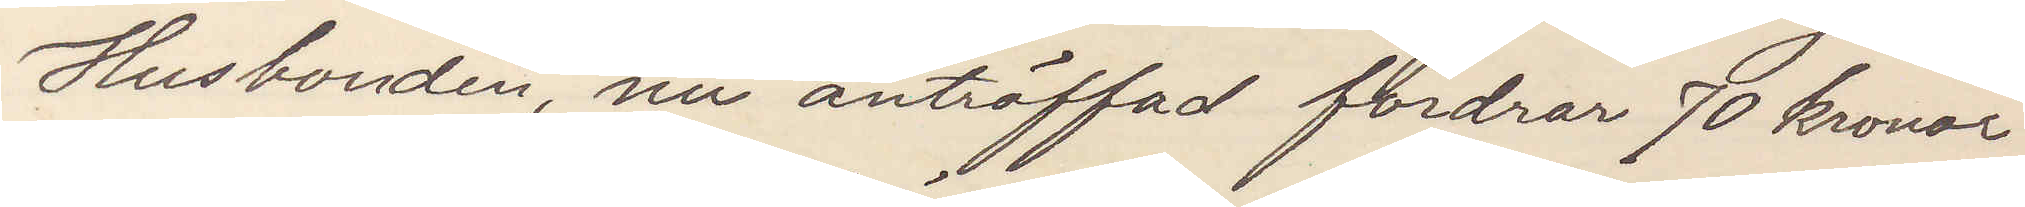Husbonden, nu anträffad fordrar 70 kronor
